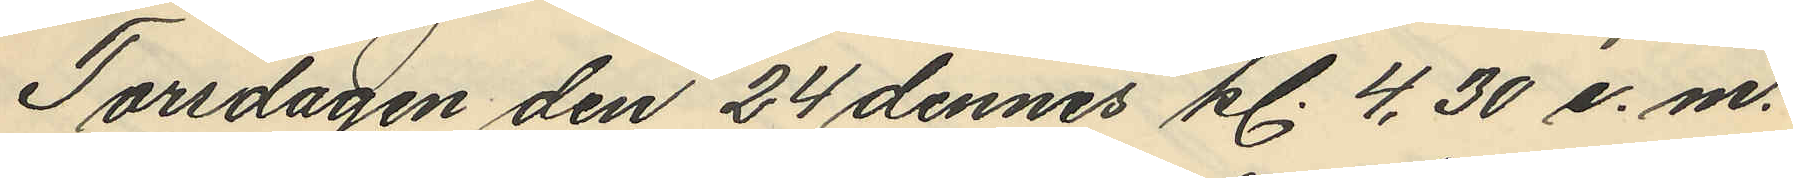Torsdagen den 24 dennes kl. 4,30 e.m.
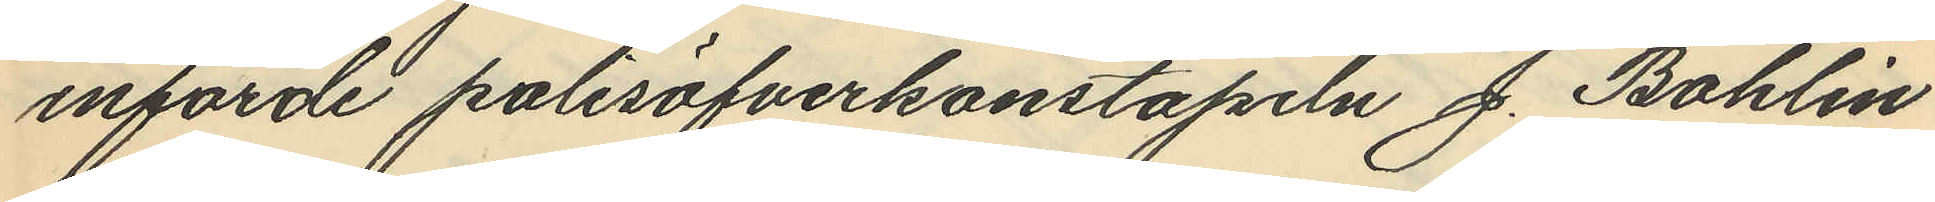införde polisöfverkonstapeln J. Bohlin
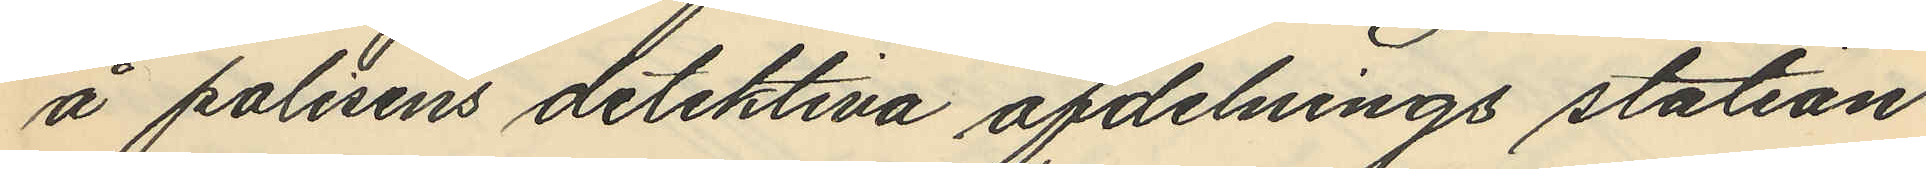å polisens detektiva afdelnings station
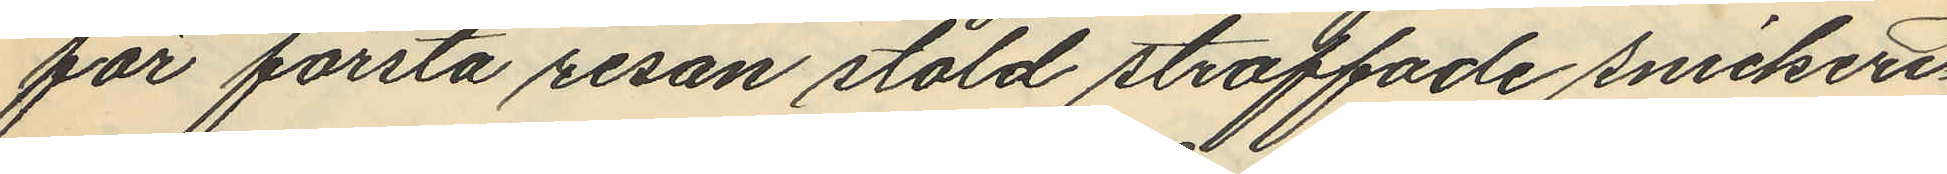för första resan stöld straffade snickeri¬
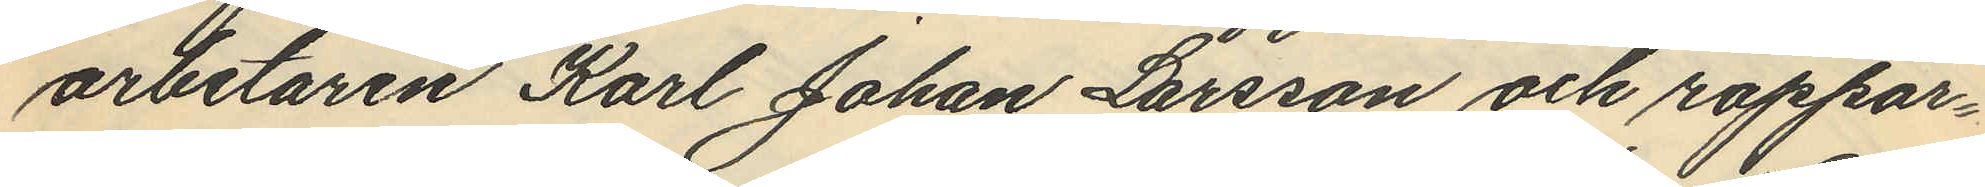arbetaren Karl Johan Larsson och rappor¬
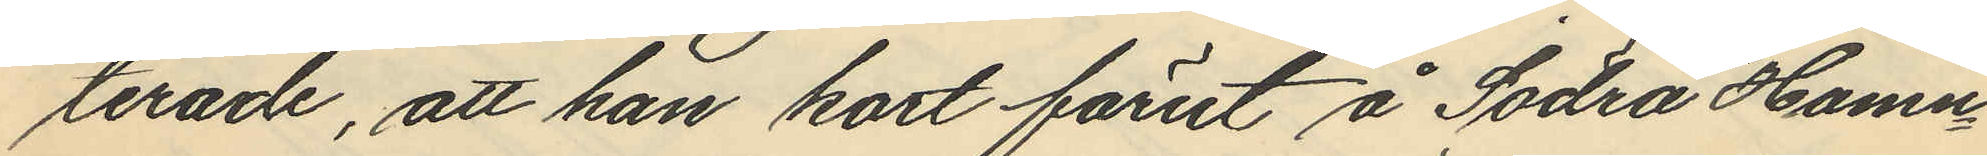terade, att han kort förut å Södra Hamn¬
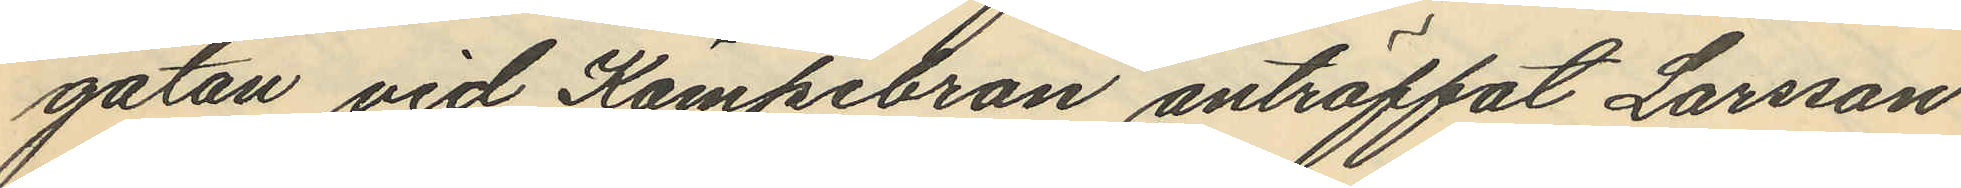gatan vid Kämpebron anträffat Larsson
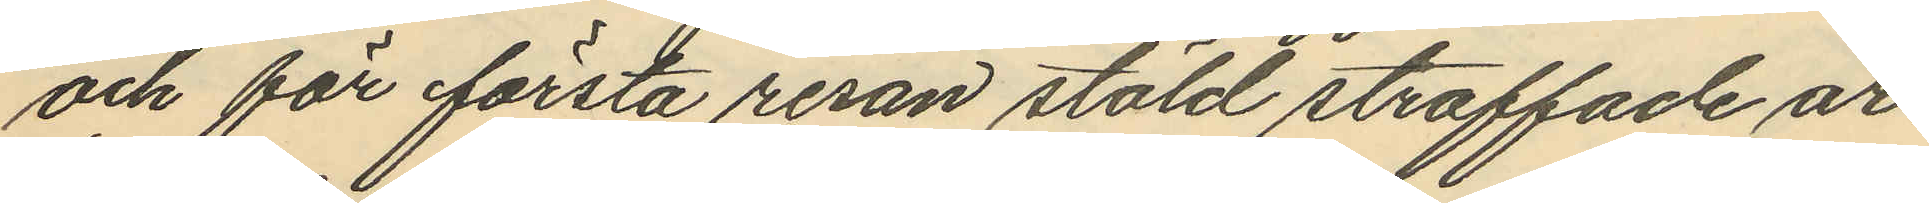och för första resan stöld straffade ar¬
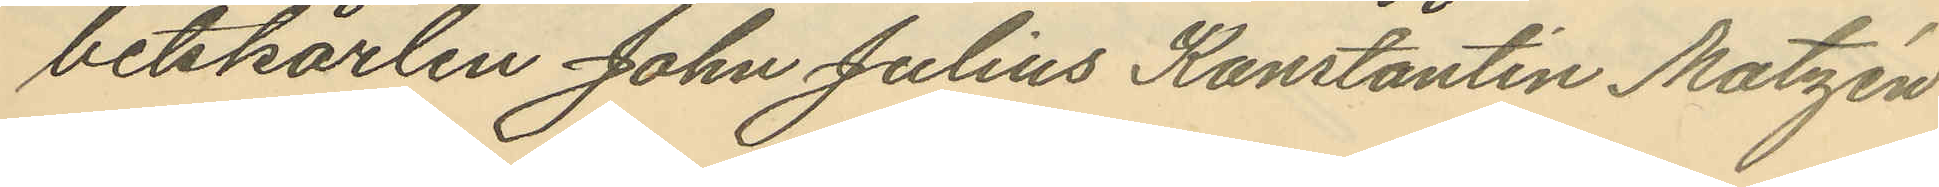betskarlen John Julius Konstantin Matzén
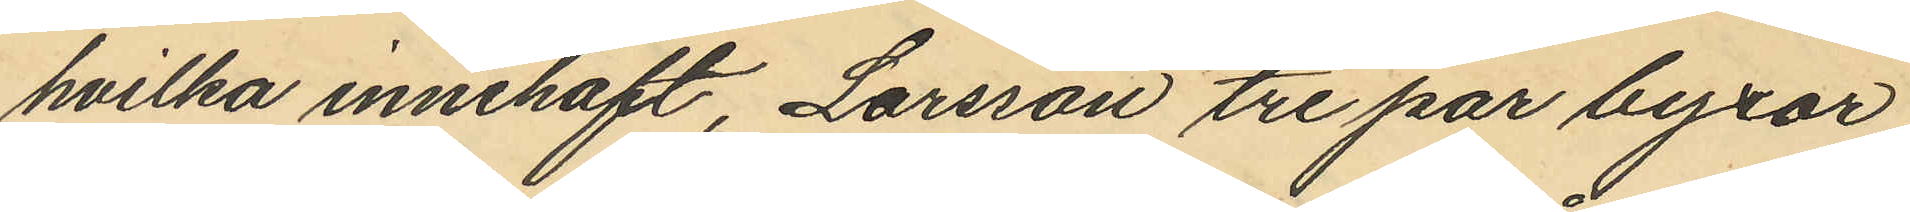hvilka innehaft, Larsson tre par byxor,
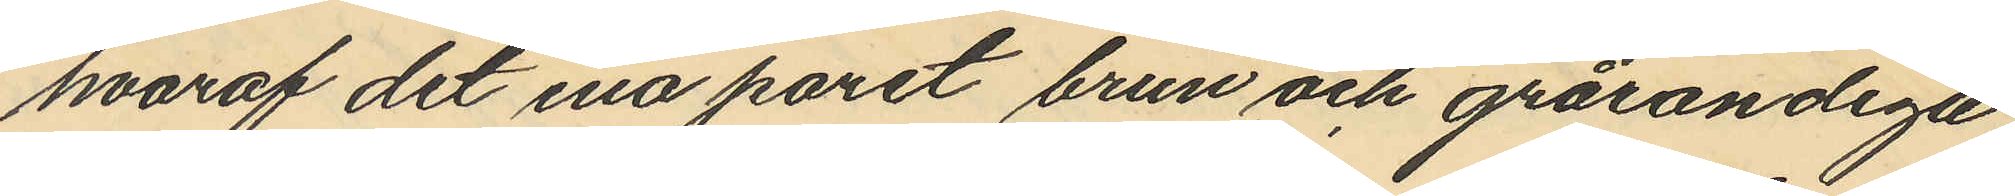hvaraf det ena paret brun och grårandiga,
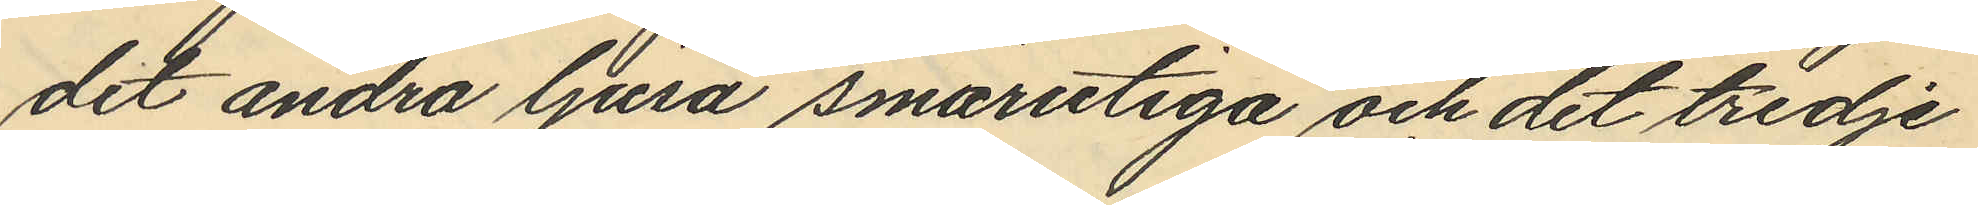det andra ljusa smårutiga och det tredje
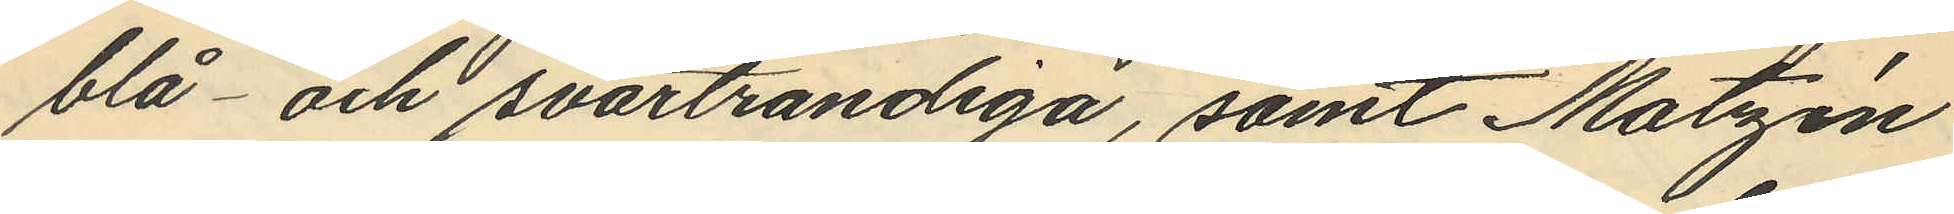blå- och svartrandiga, samt Matzén
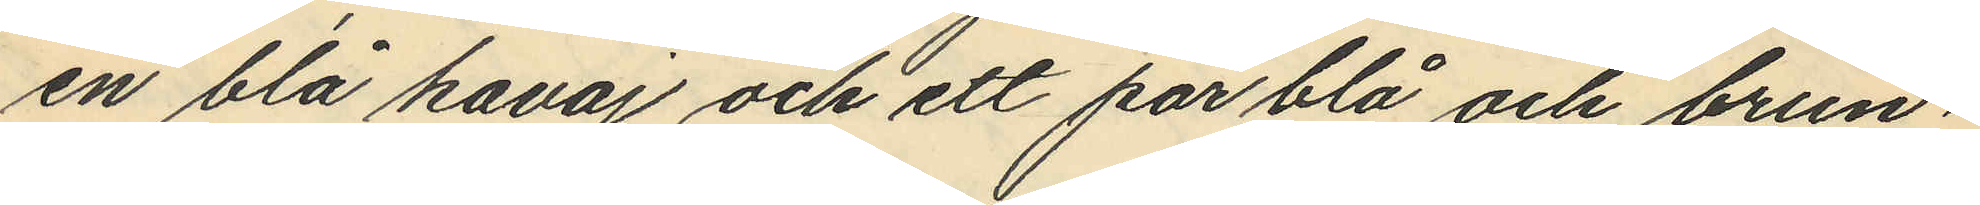en blå kavaj och ett par blå och brun¬
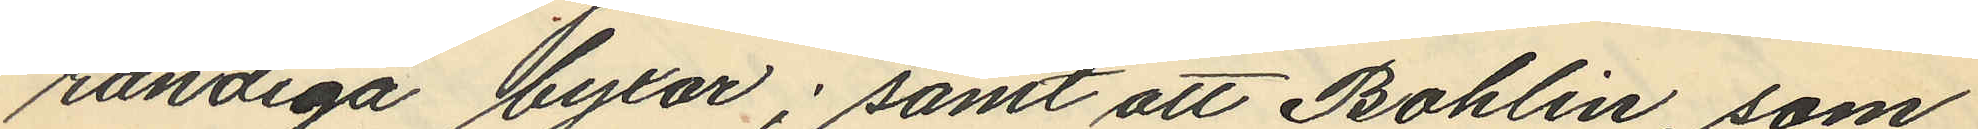randiga byxor; samt att Bohlin, som
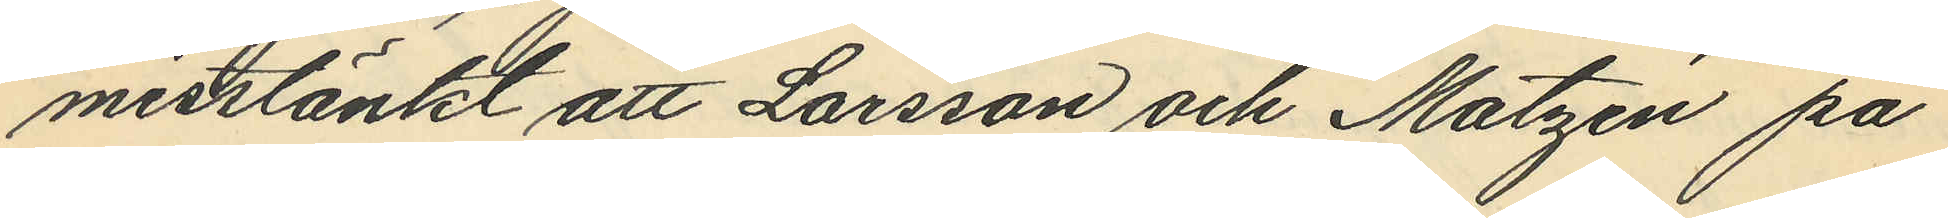misstänkt att Larsson och Matzén på
